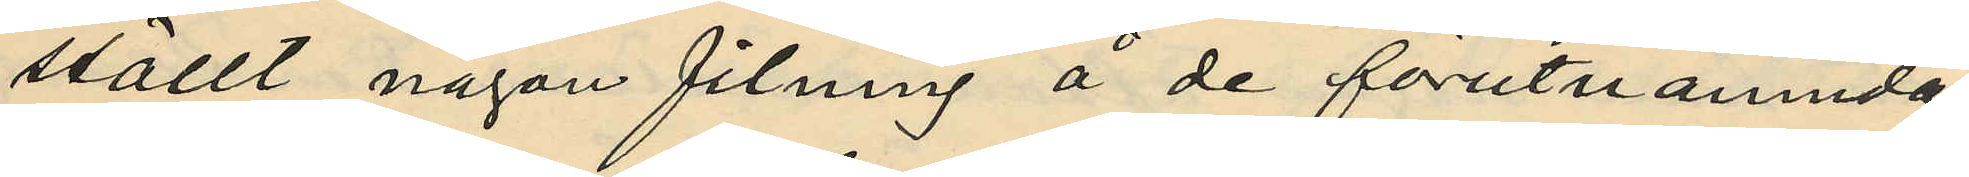ställt någon filning å de förutnämnda
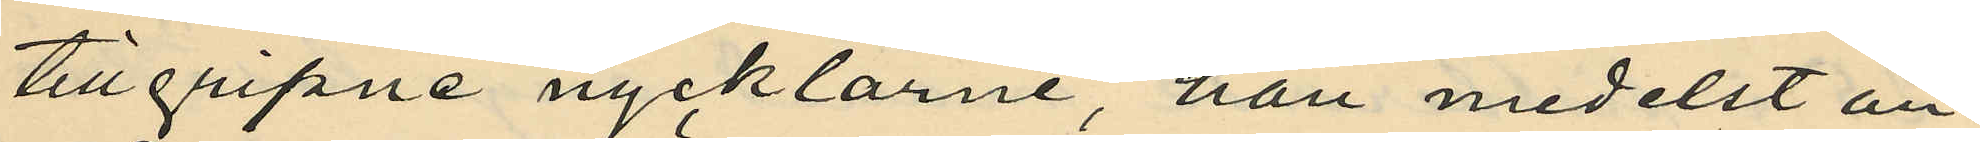tillgripne nycklarne, han medelst an¬
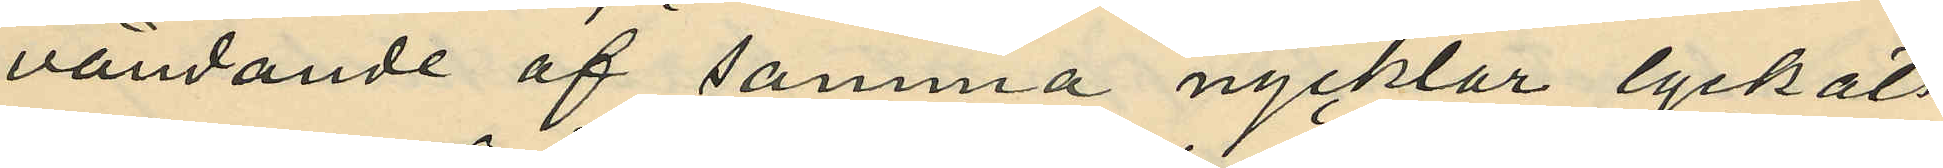vändande af samma nycklar lyckats
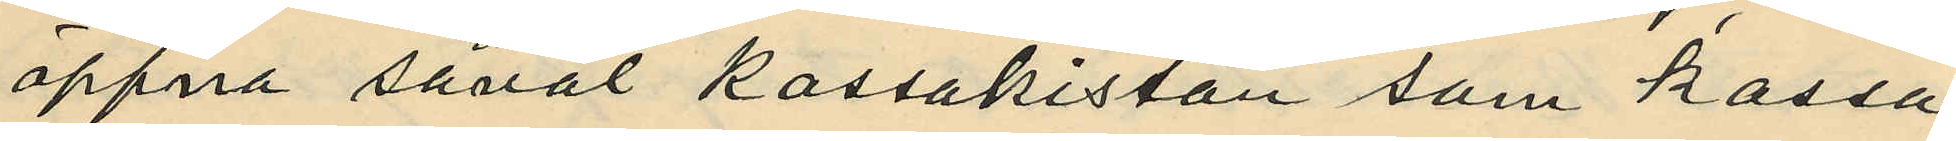öppna såväl kassakistan som kassa¬
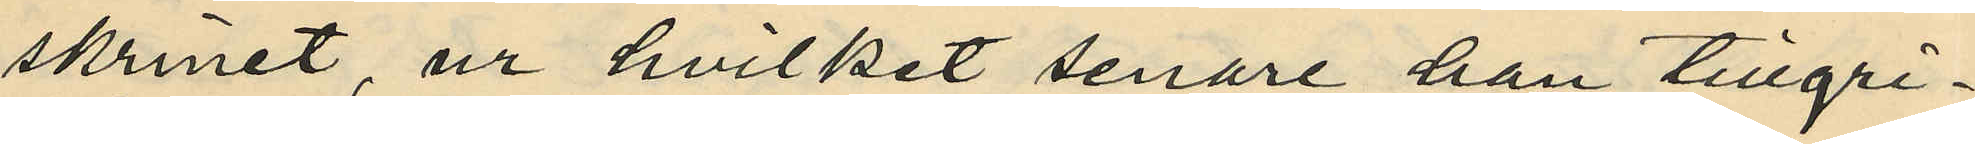skrinet, ur hvilket senare han tillgri¬
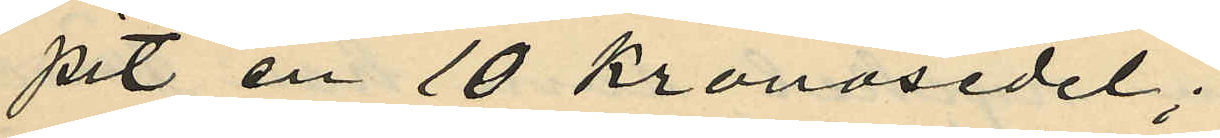pit en 10 kronosedel;
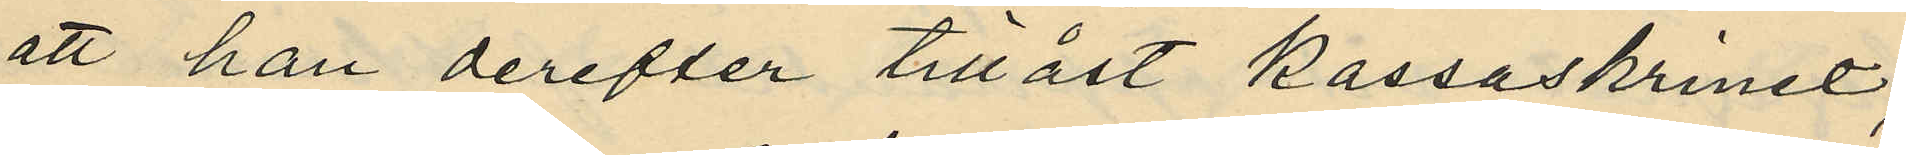att han derefter tillåst kassaskrinet,
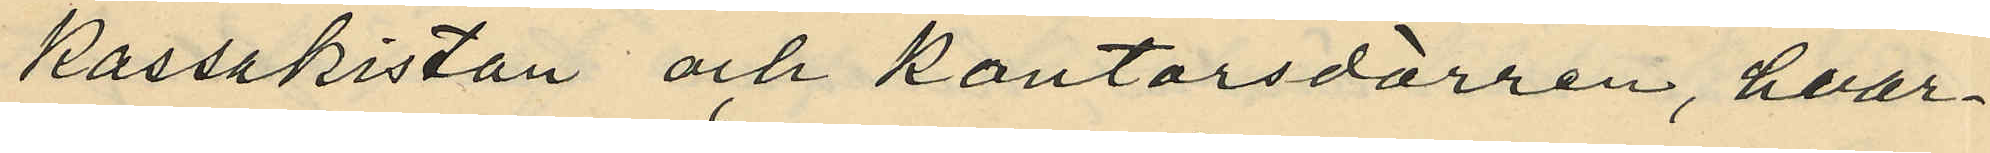kassakistan och kontorsdörren, hvar¬
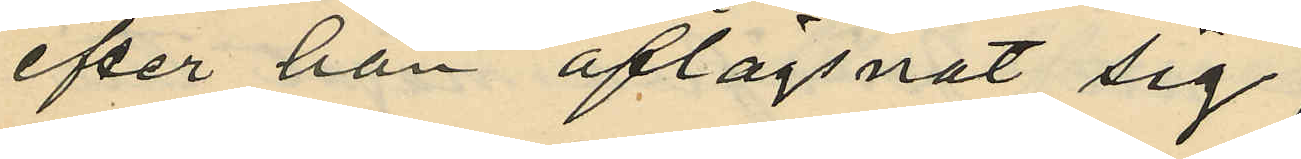efter han aflägsnat sig;
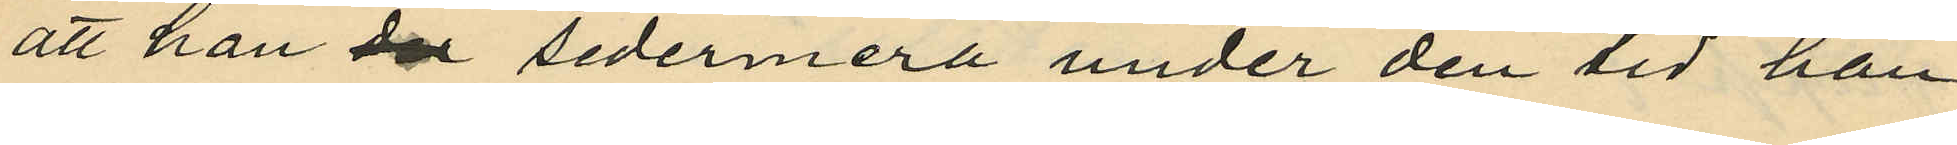att han der sedermera under den tid han
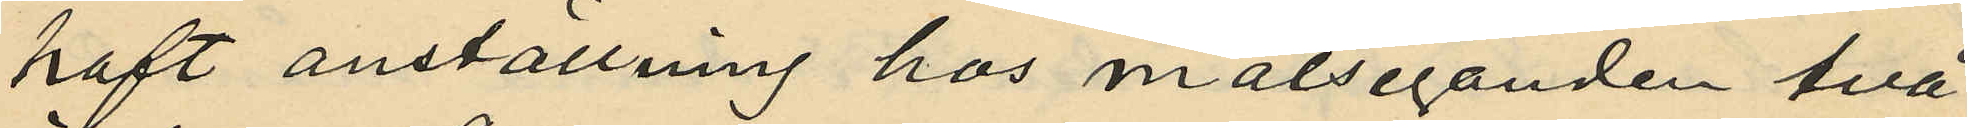haft anställning hos målseganden två
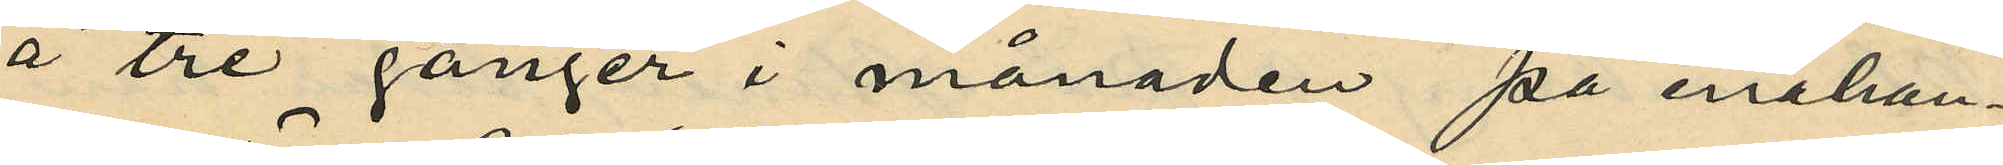å tre gånger i månaden på enahan¬
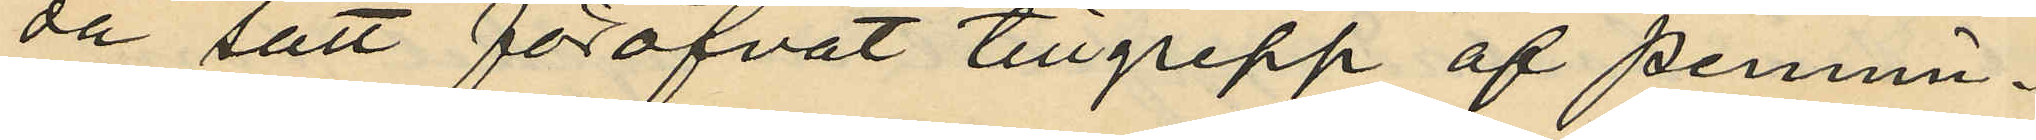då sätt föröfvat tillgrepp af pennin¬
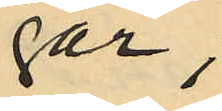gar;
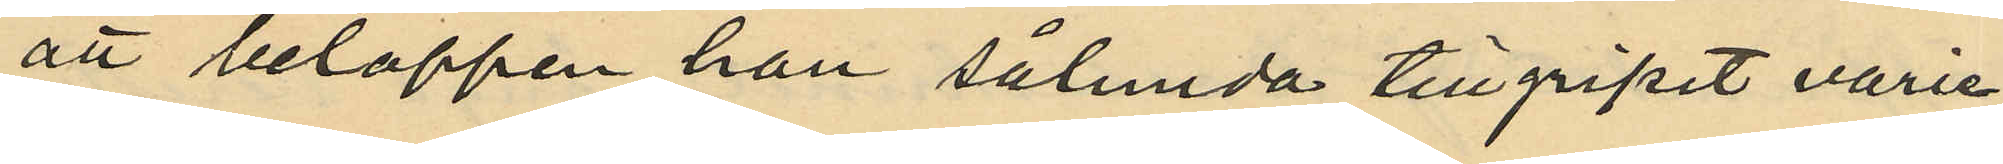att beloppen han sålunda tillgripit varie¬
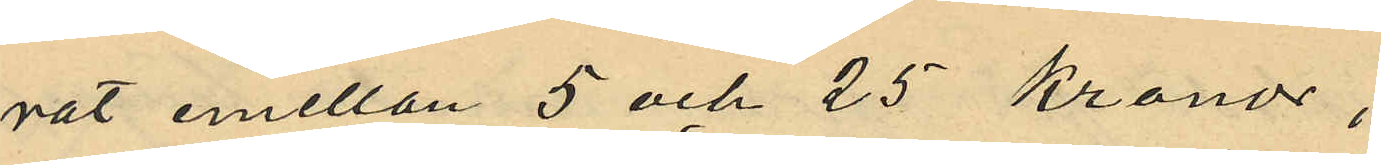rat emellan 5 och 25 Kronor;
